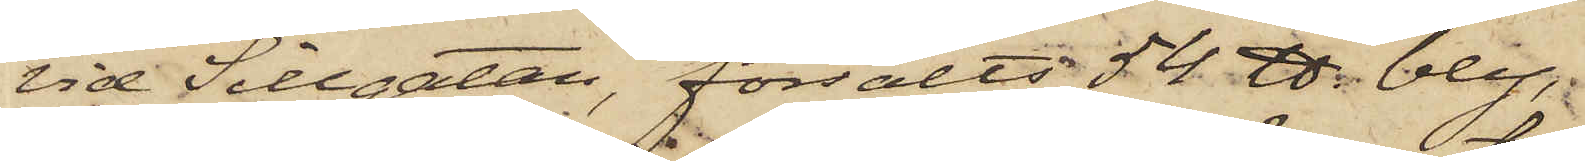vid Sillgatan, försålts 54 ℔ bly,
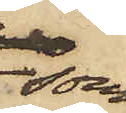som
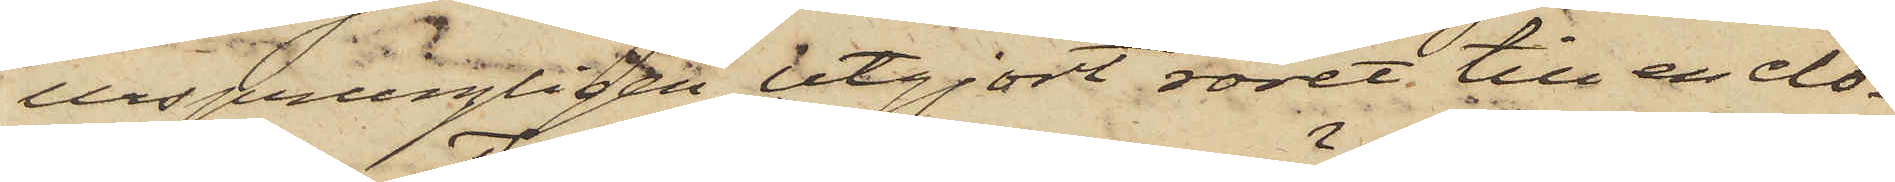ursprungligen utgjort röret till en clo¬
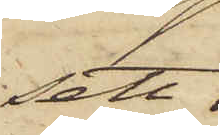sett,
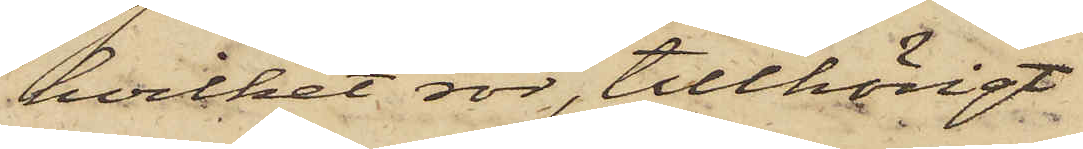hvilket rör, tillhörigt
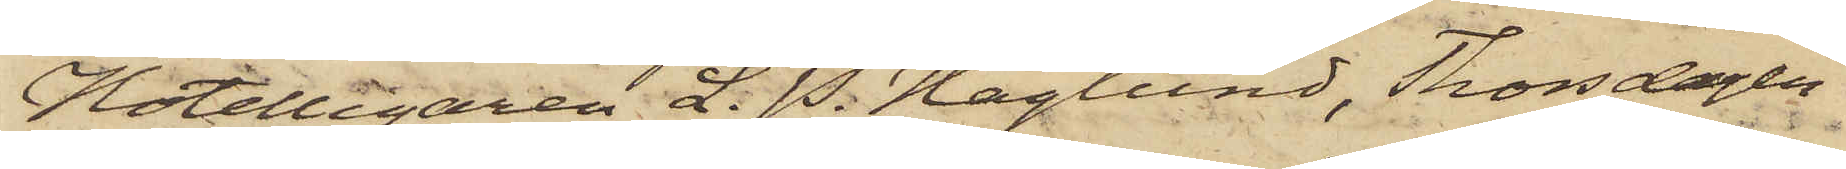Hotellegaren L. P. Haglund, Thorsdagen
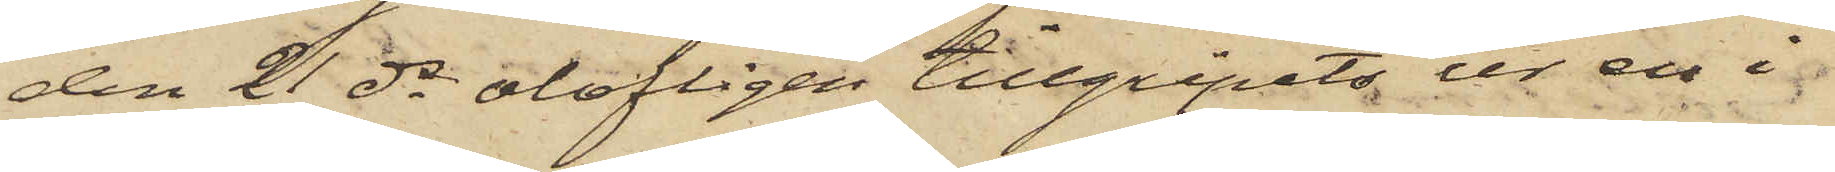den 21 ds olofligen tillgripits ur en i
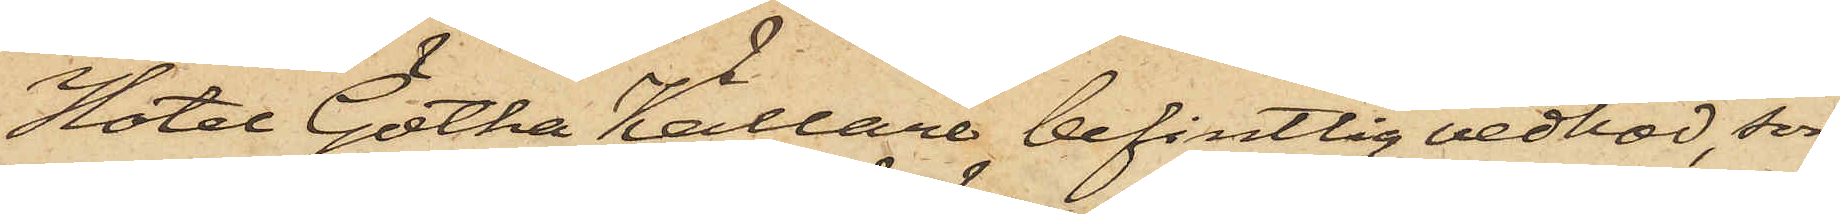Hotel Götha Källare befintlig vedbod, som
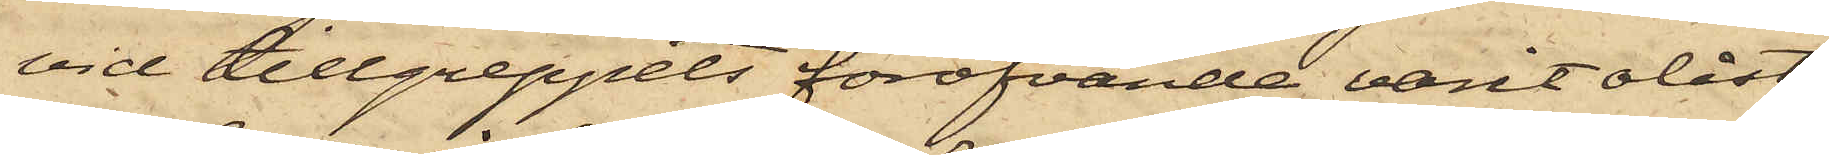vid tillgreppets föröfvande varit olåst,
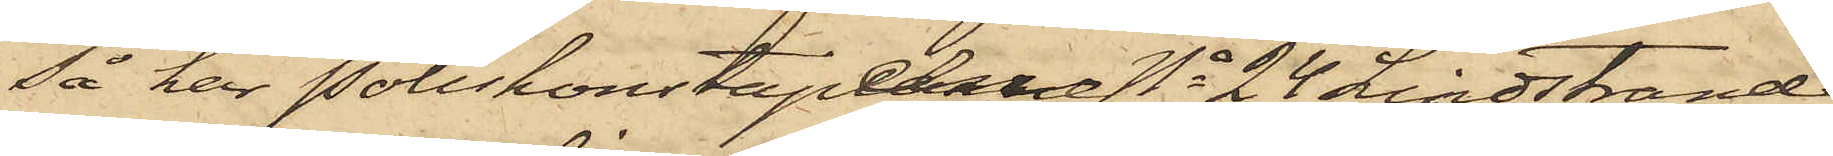så har Poliskonstapeln No 24 Lindstrand
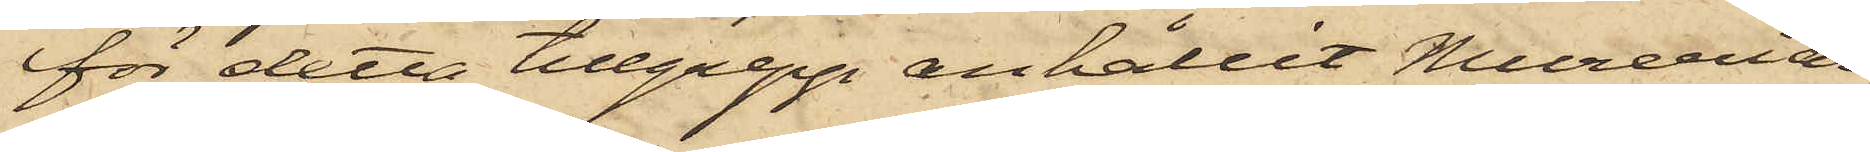för detta tillgrepp anhållit Mureriar¬
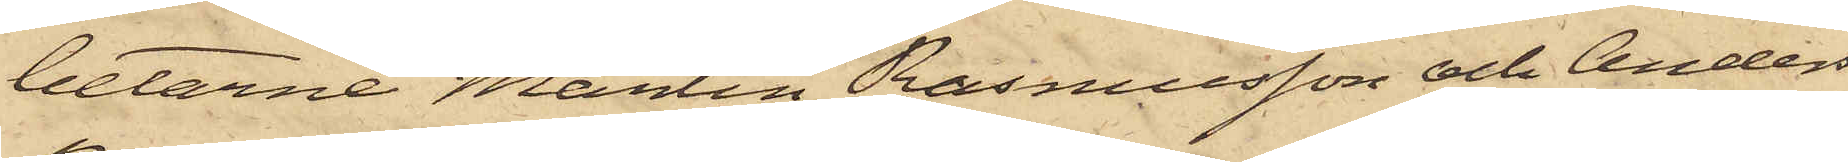betarne Martin Rasmusson och Anders
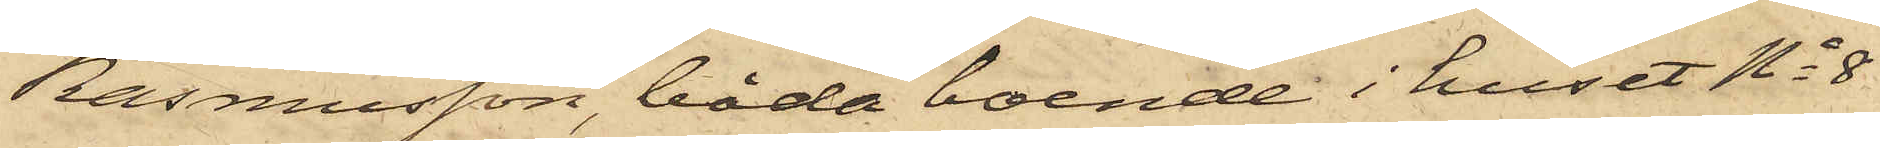Rasmusson, båda boende i huset No 8
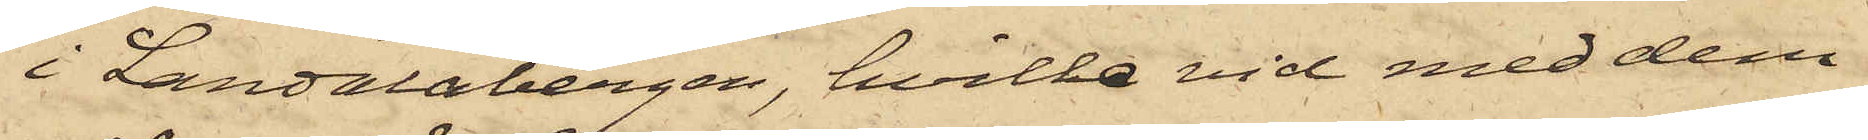i Landalabergen, hvilka vid med dem
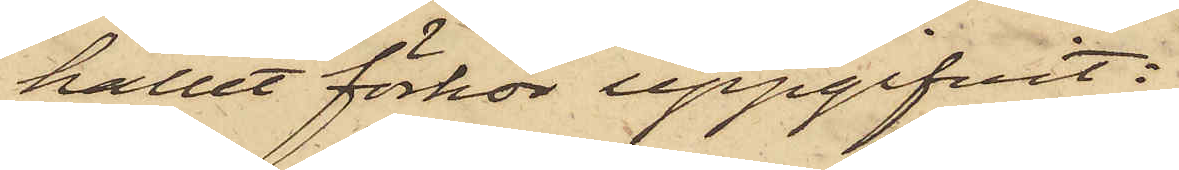hållet förhör uppgifvit:
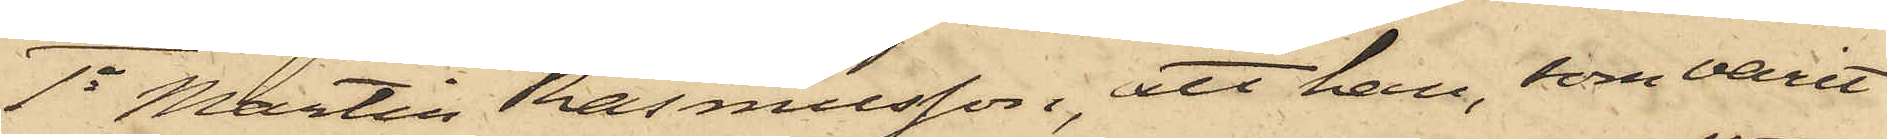1o Martin Rasmusson, att han, som varit
